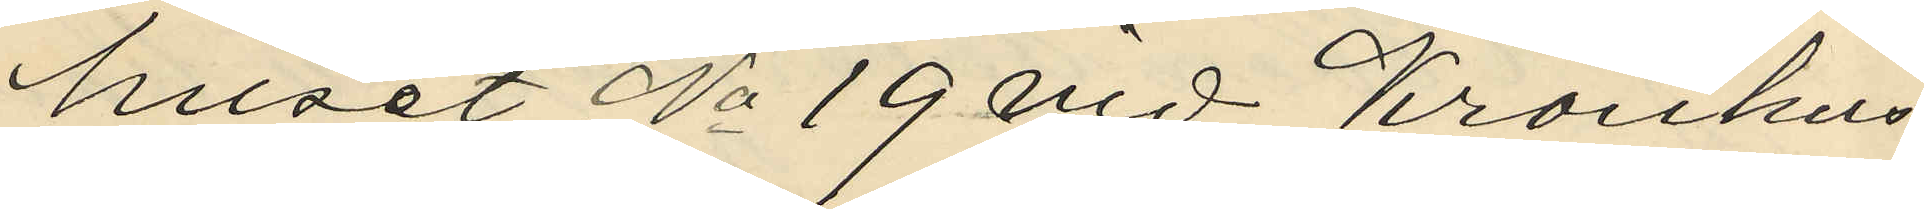huset No 19 vid Kronhus
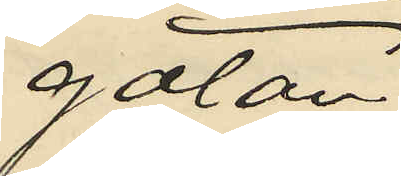gatan.
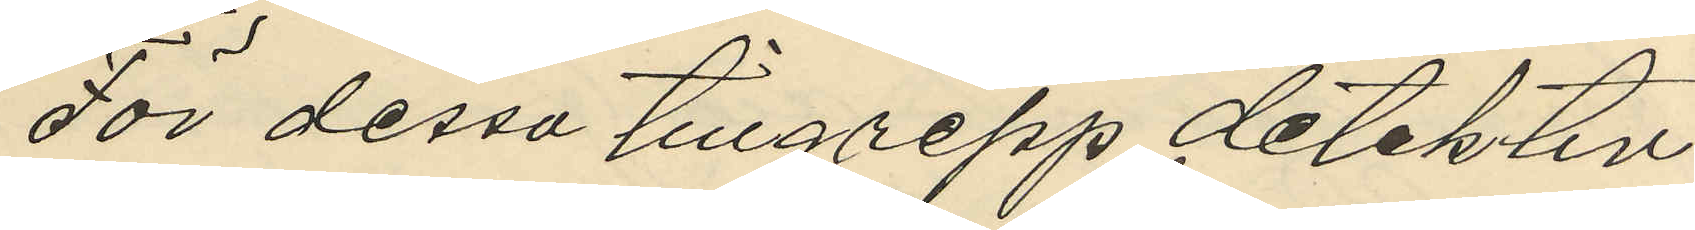För dessa tillgrepp detektiv¬
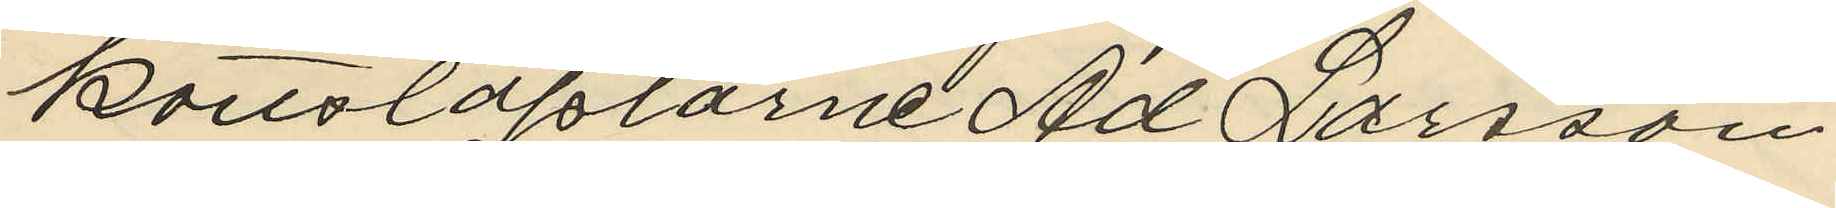konstaplarne Ad Larsson
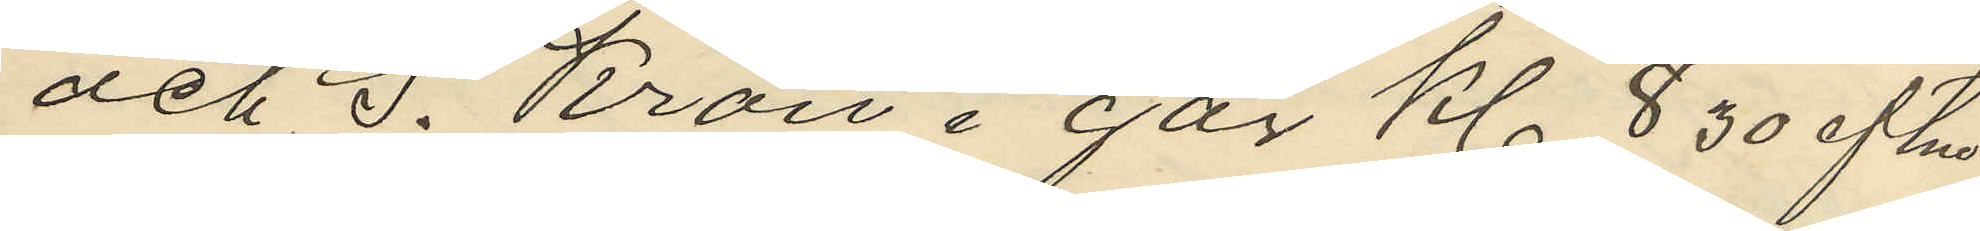och S. Kron i går Kl 8 30 eftm
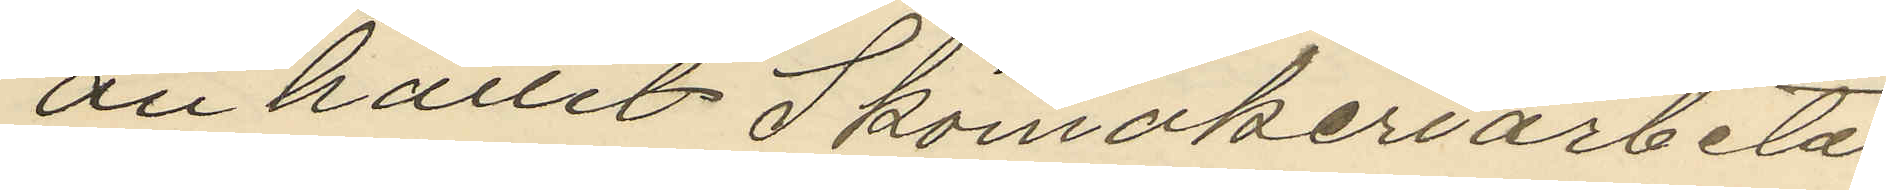anhallit Skomakeriarbeta
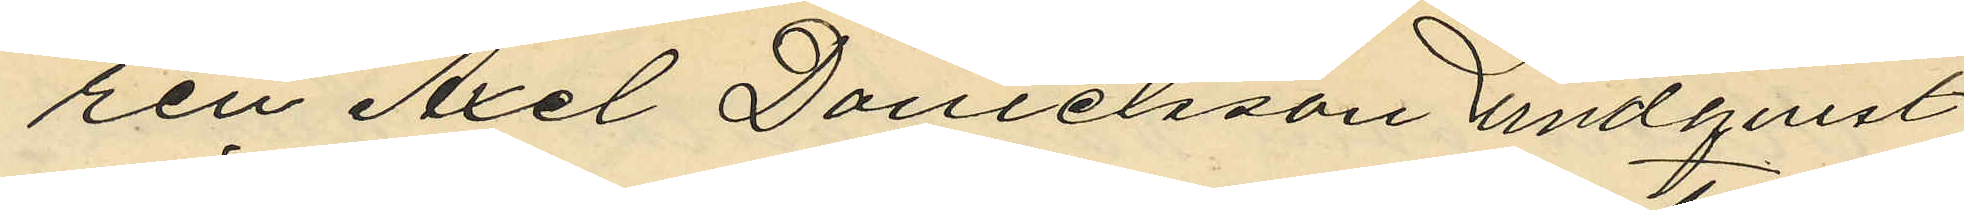ren Axel Danielsson Lundquist
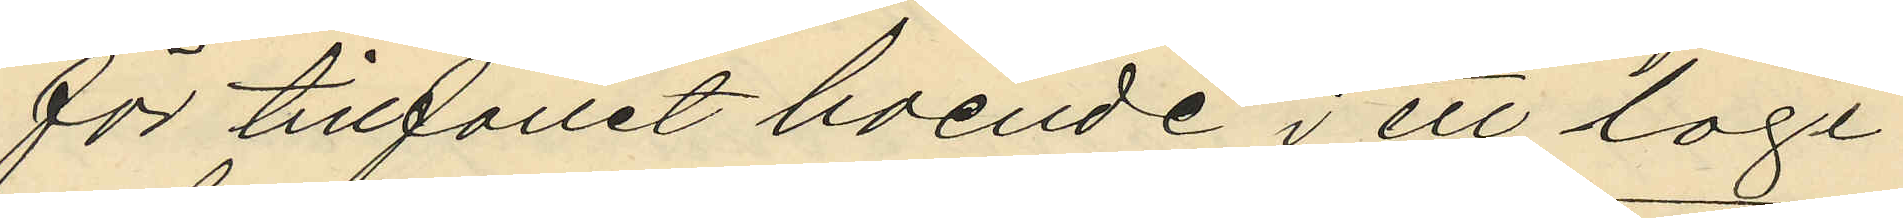för tillfallet boende i ett logi
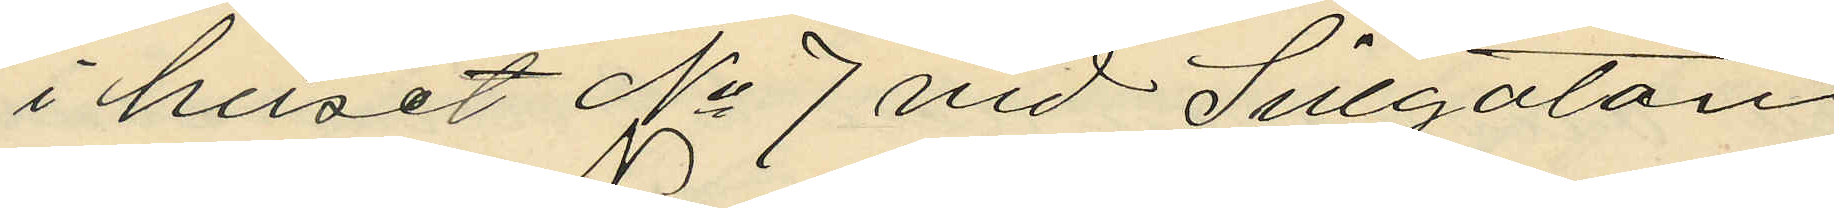i huset No 7 vid Sillgatan
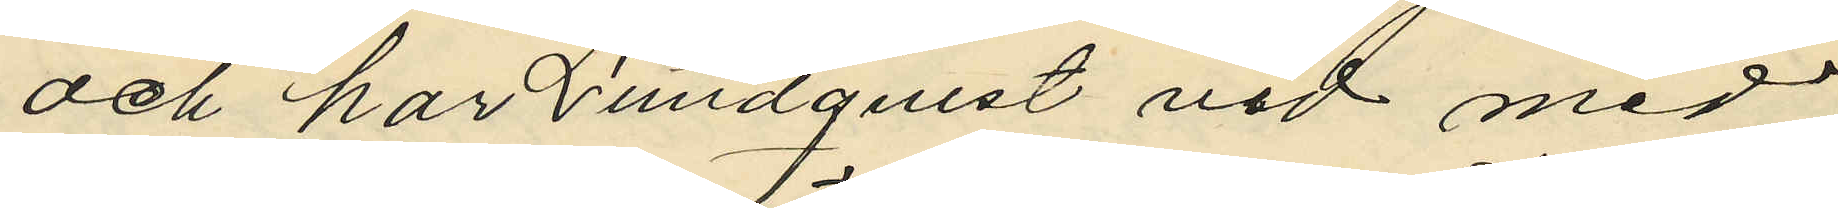och har Lundquist vid med
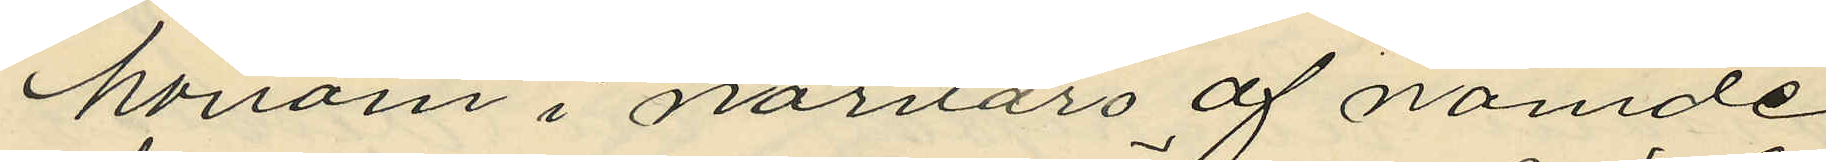honom i närvaro af nämde
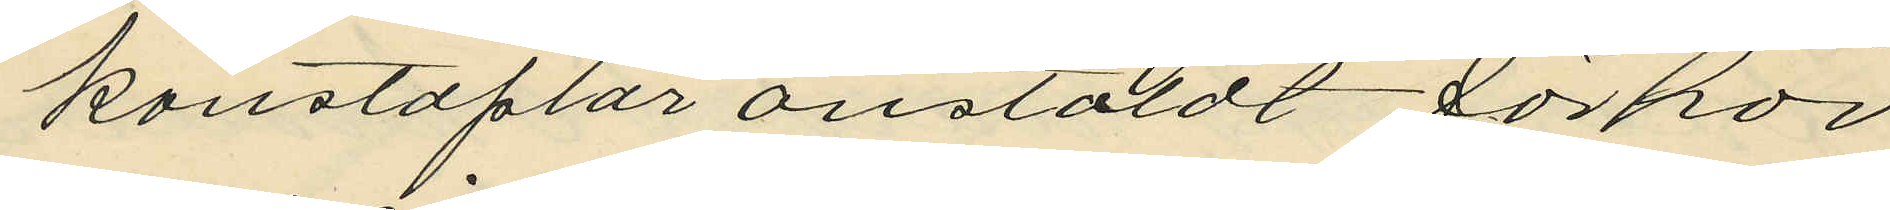konstaplar anstäldt förhör
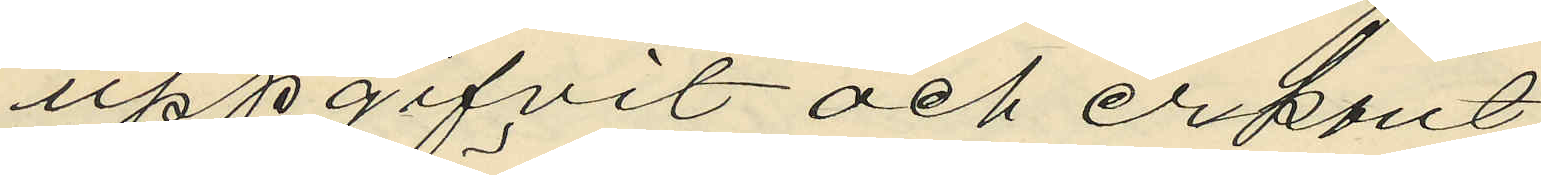uppgifvit och erkänt
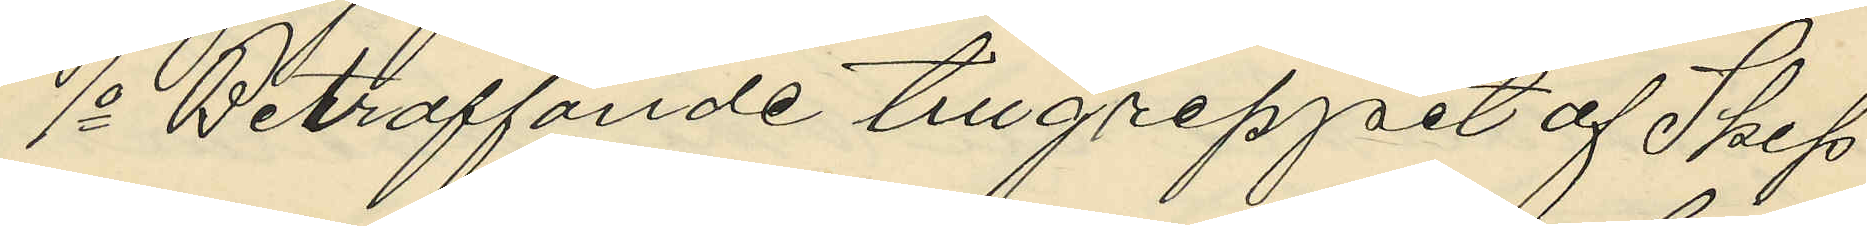1o Beträffande tillgreppet af Skep
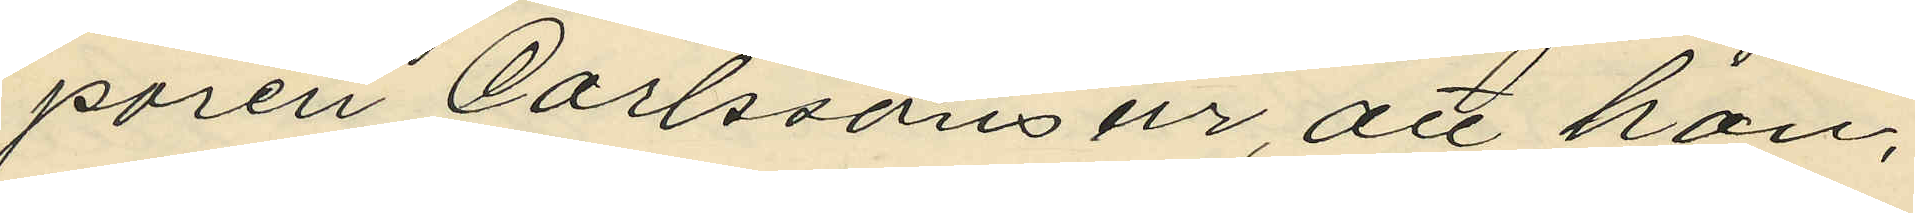paren Carlssons ur, att han,
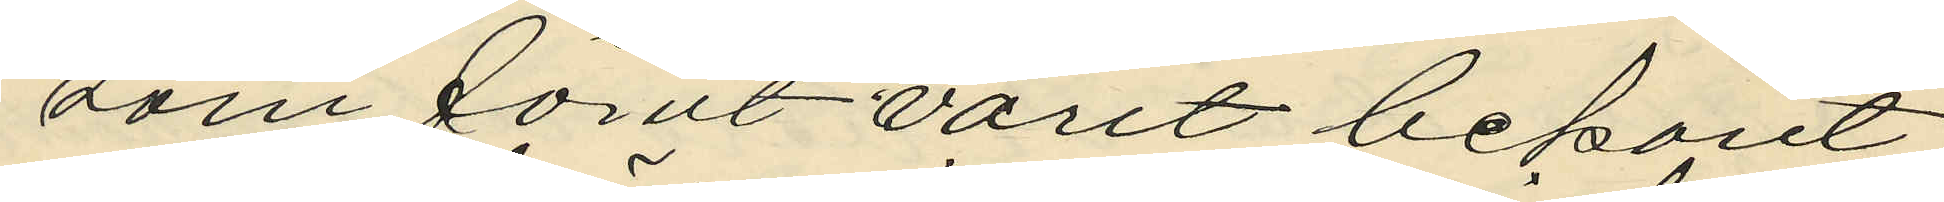som förut varit bekant
